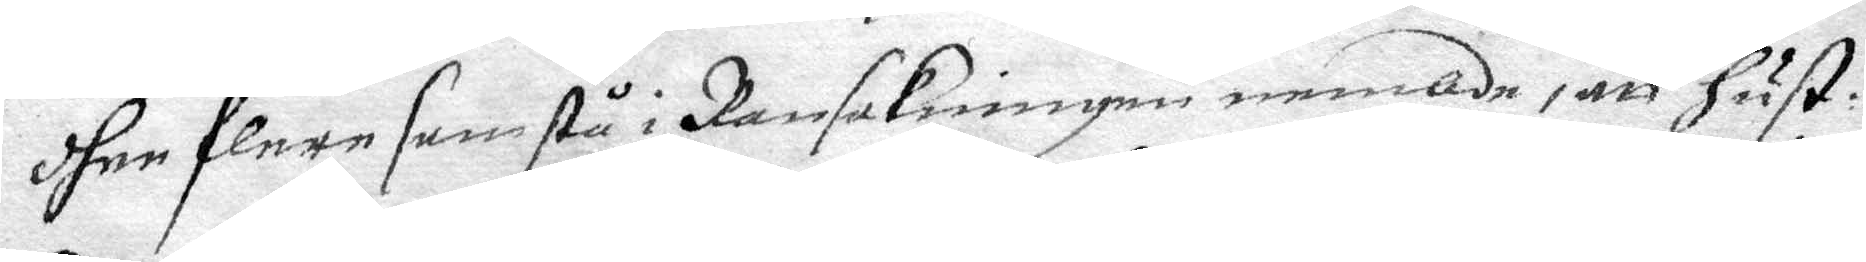dher flere som stå i Ransakningen nembde, att hust:
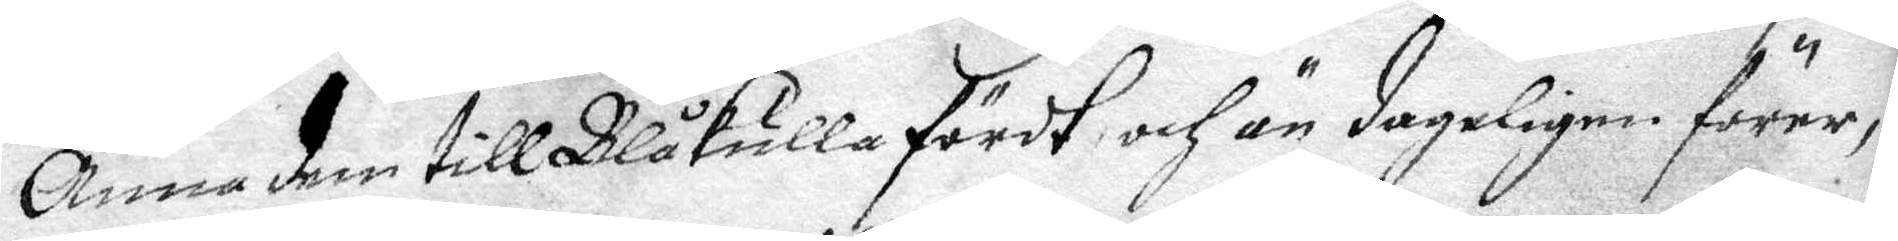Anna dem till Blåkulla fördt och än dageligen förer,
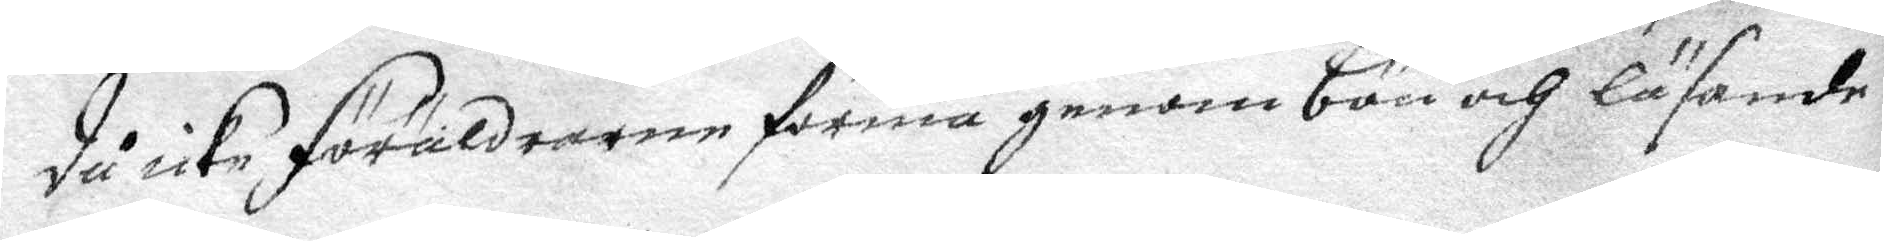då icke föräldrarne förmå genom bön och läsande
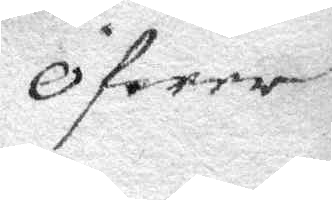öfwer
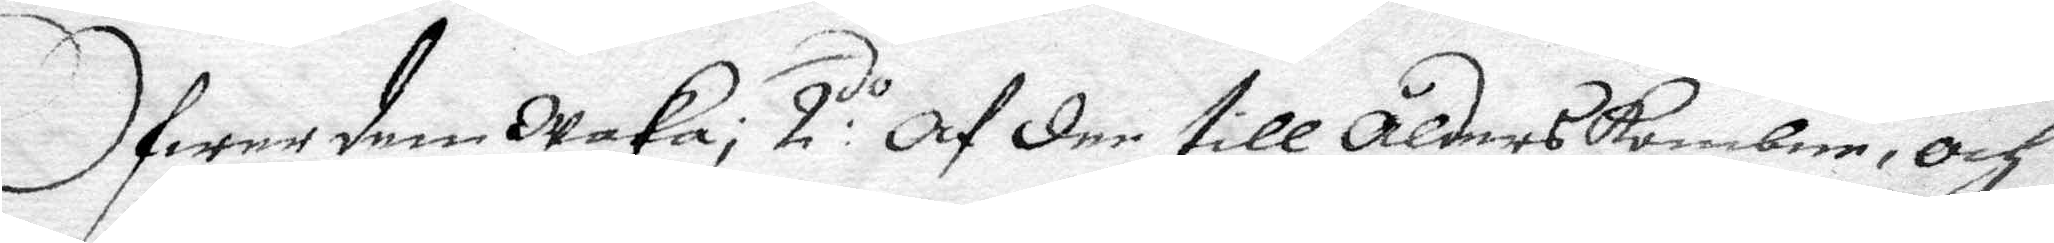Öfwer dem Waka; 2:do af der till ålders kombne, och
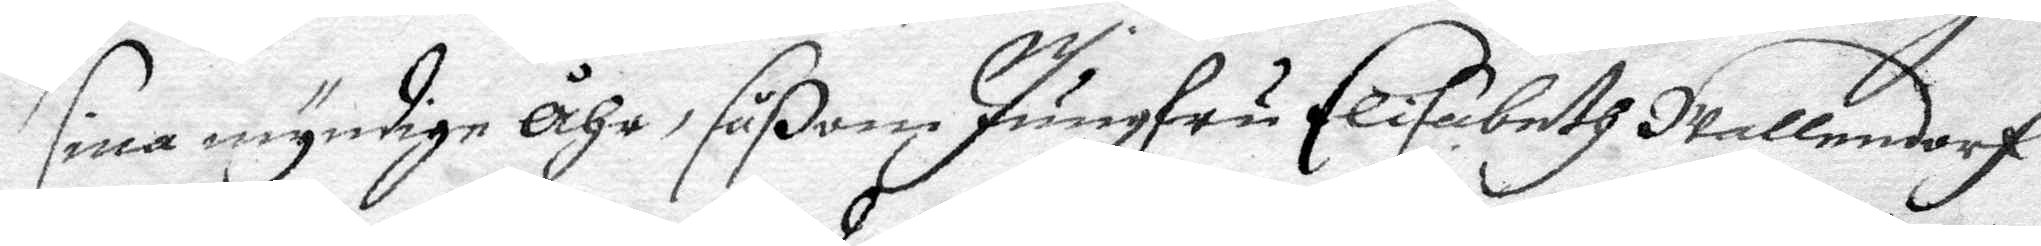sine myndige Åhr, såßom Jungfru Elisabeth Jallendorf
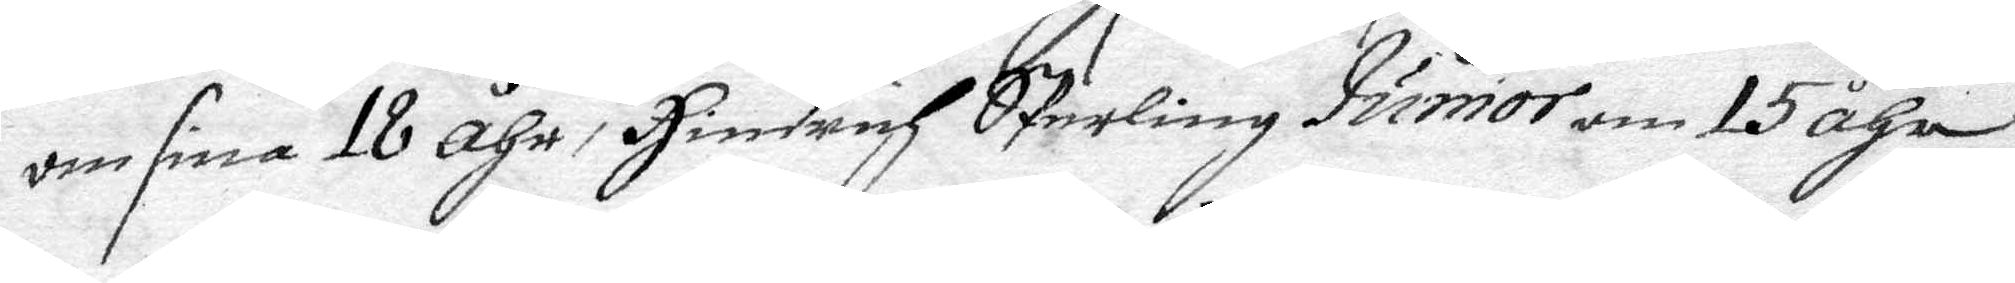om sine 18 åhr, Hindrich Srterling Junior om 15 åhr,
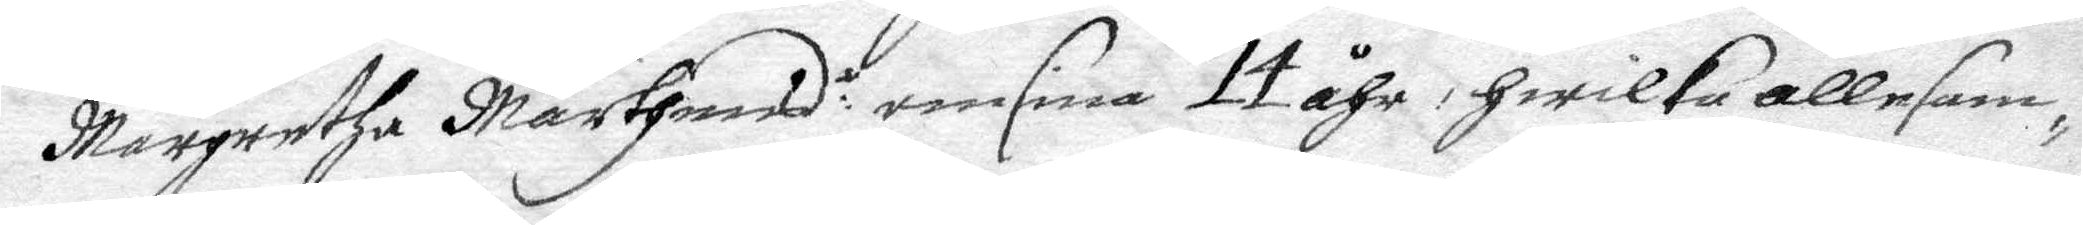Margretha Mårthens om sina 14 åhr, hwilka allesam¬
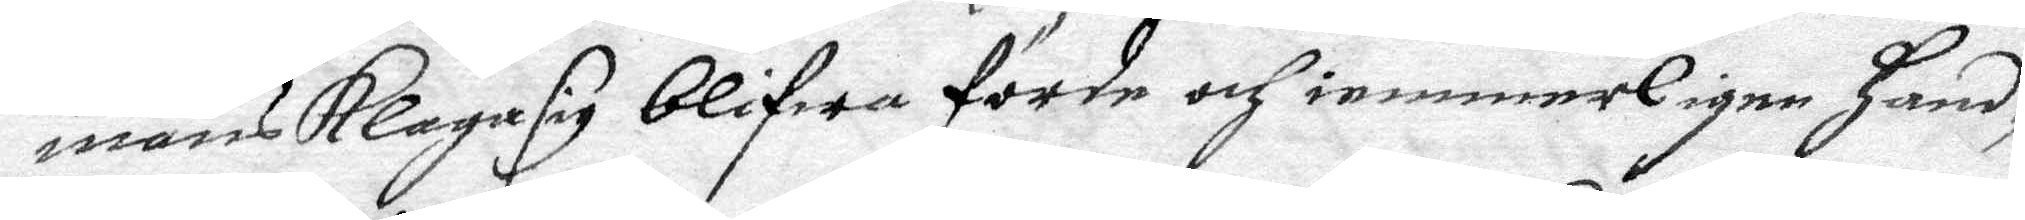mans klaga sig blifwa förde och iemmerligen hand¬
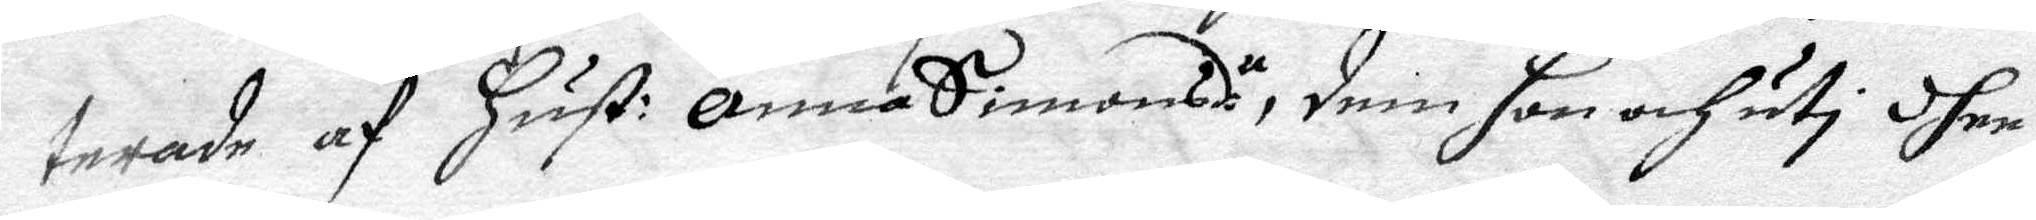terade af hust: Anna Simonsdr, dem hon och uti dhen
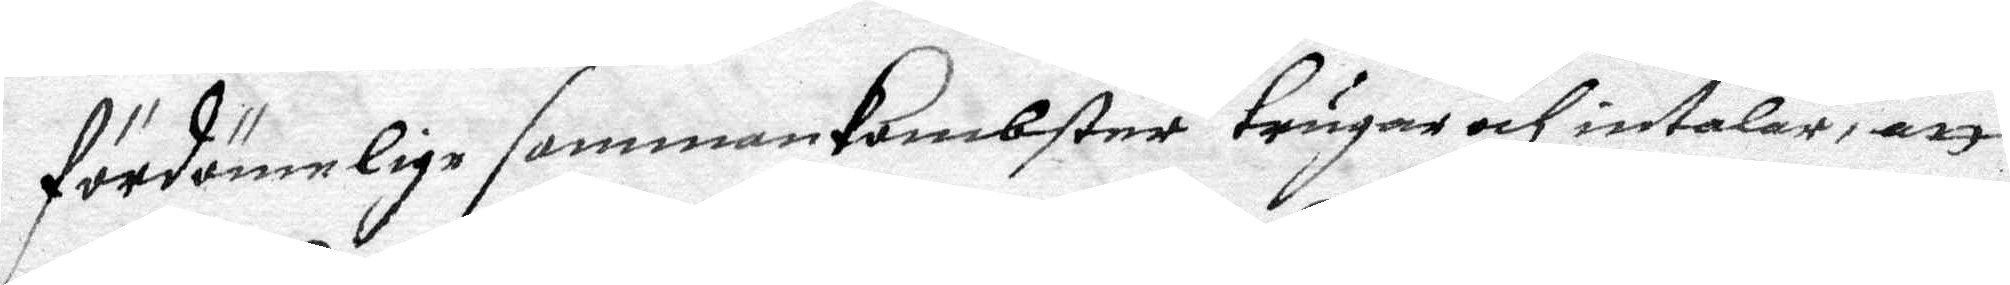fördömelige sammankombsten trugas och intalar, att
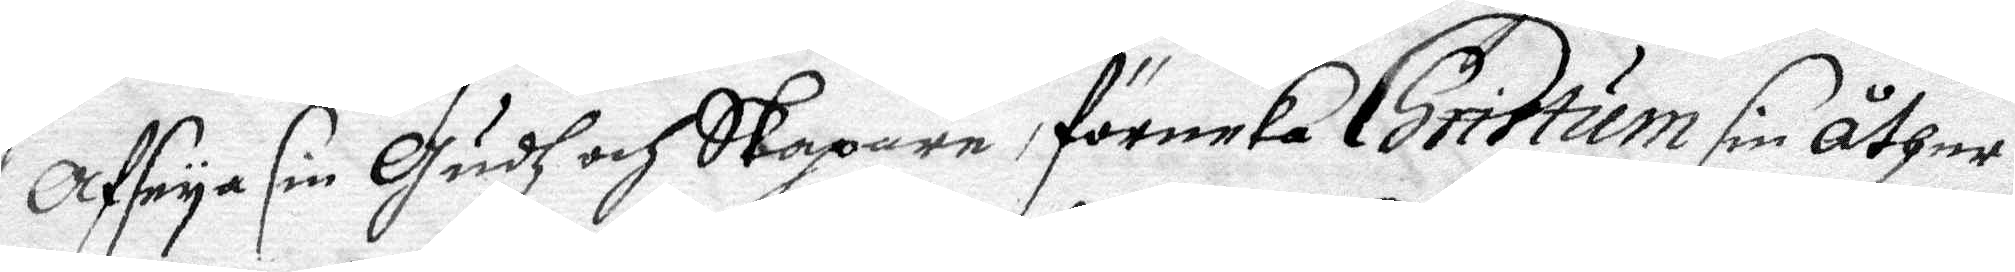Afseya sig Gidh och Skapare förneka Christum sin åther¬
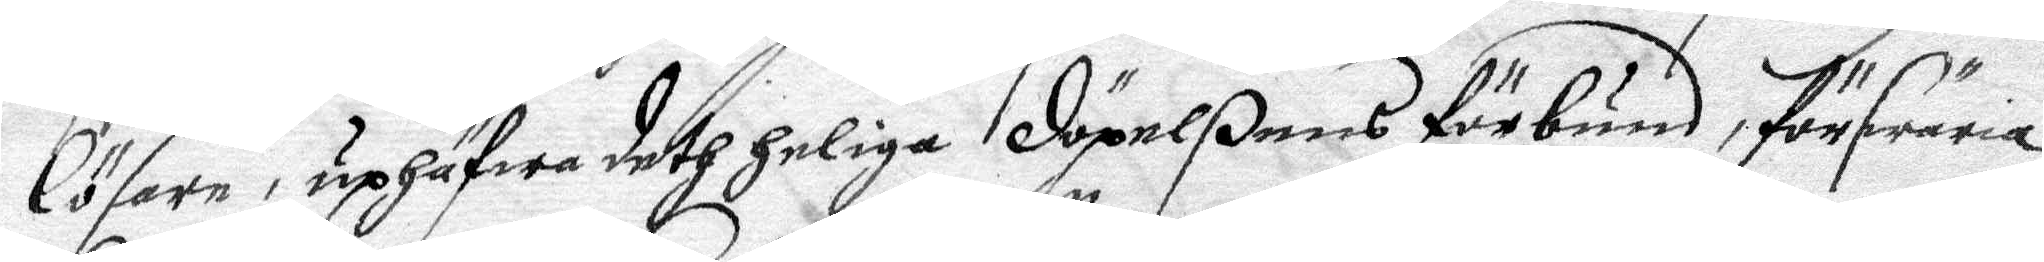lösare, uphägwa deth heliga döpelßens förbund, förswära
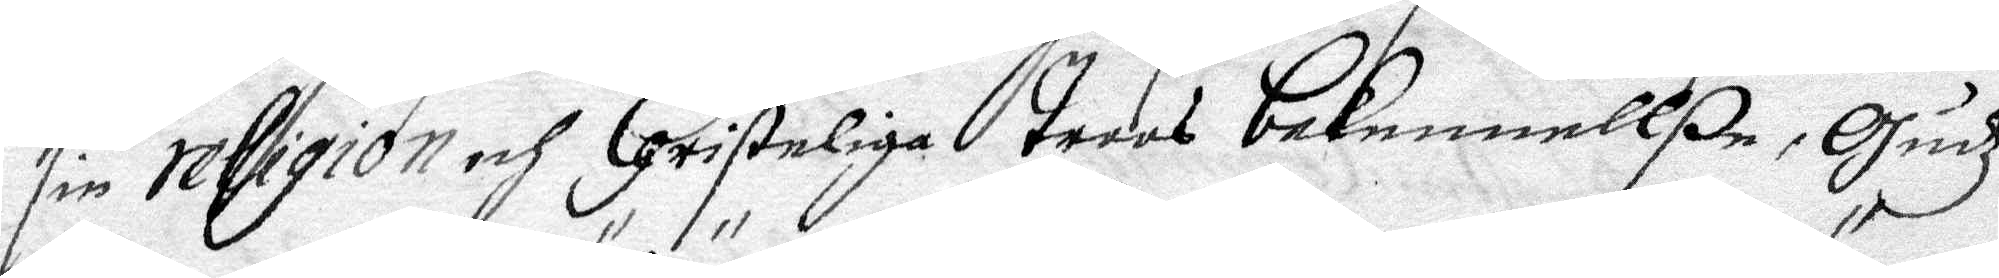sin religion och Christelige trons bekennellße, Gudz
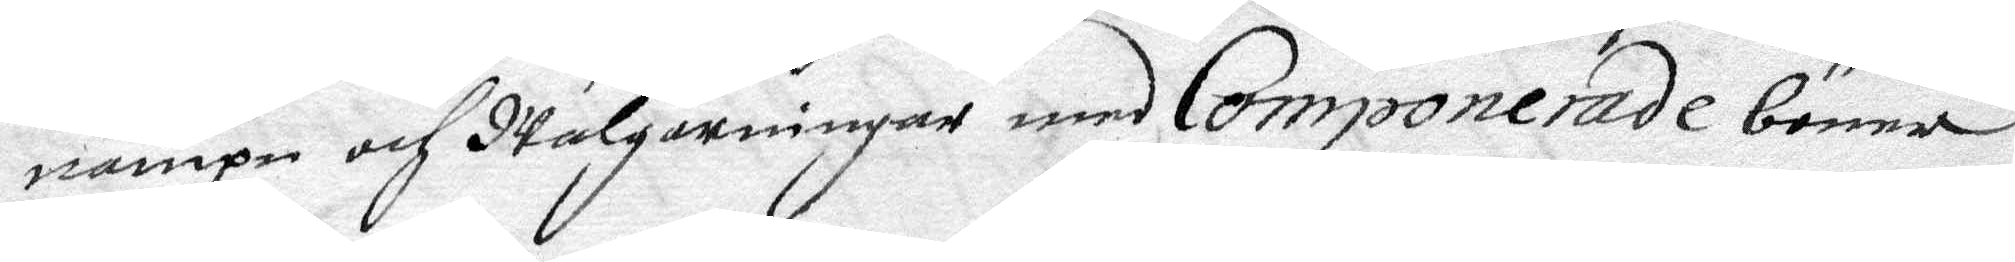nampn och Wälgärningar md Componerade böner
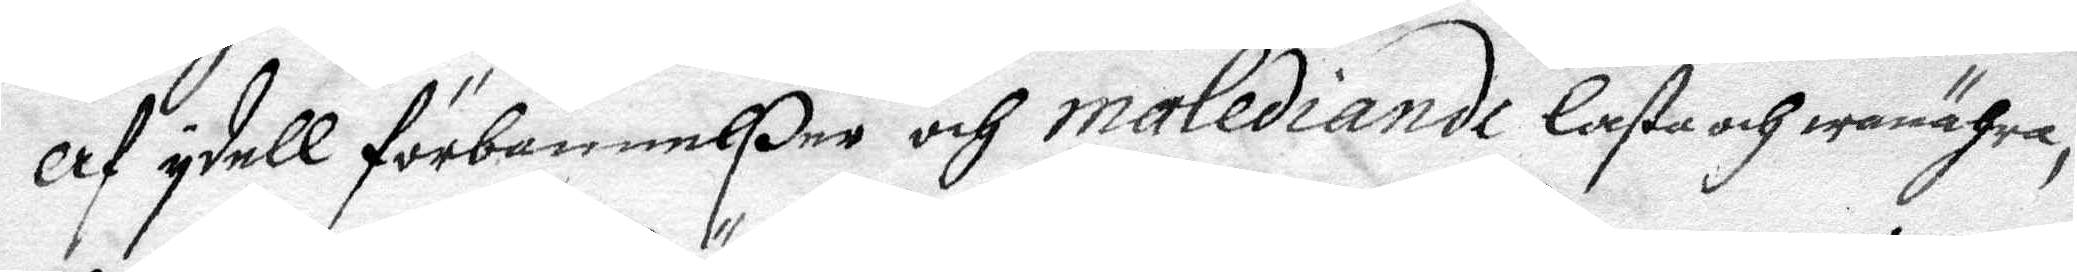af idell förbannelßer och malediande lasta och wanähra,
